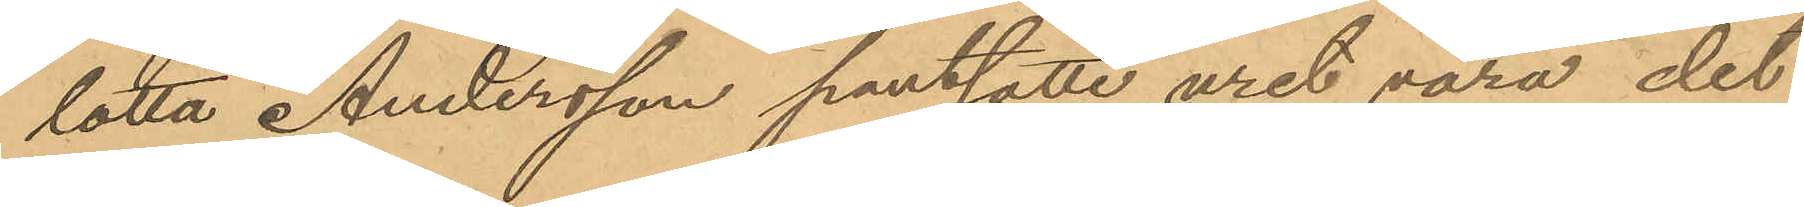lotta Andersson pantsatte uret vara det
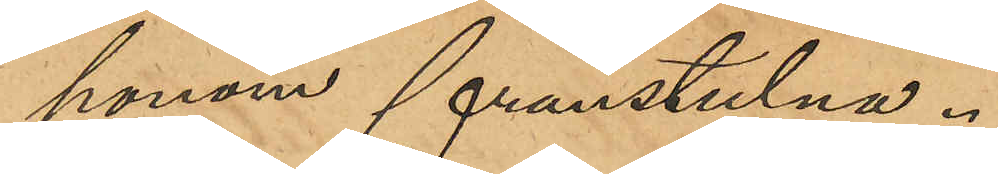honom frånstulna.
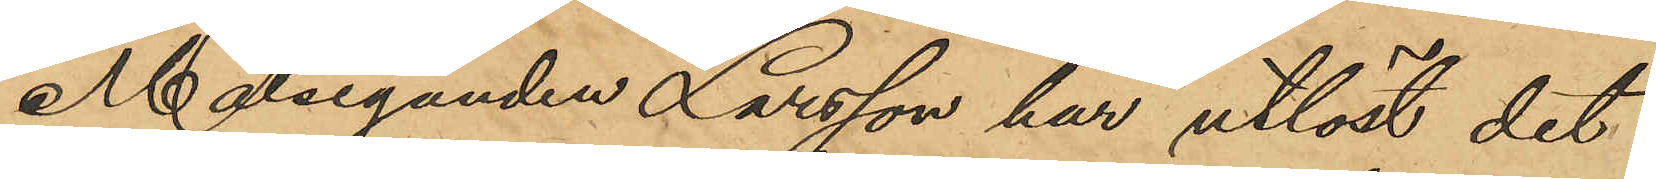Målseganden Larsson har utlöst det
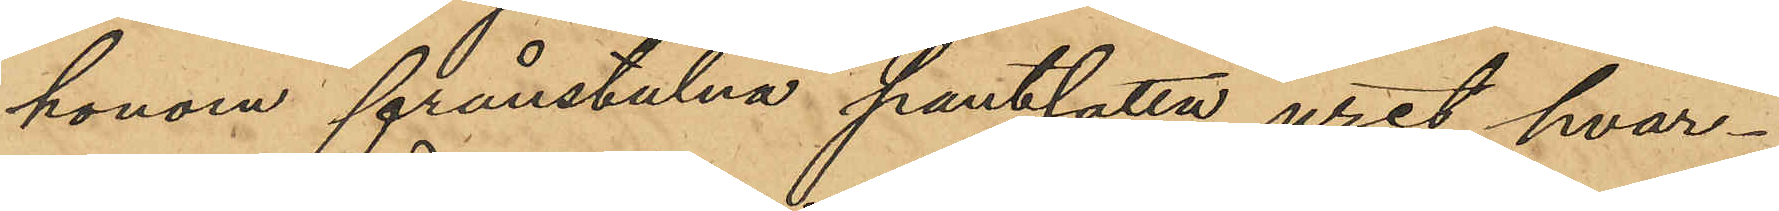honom frånstulna pantsatta uret hvar¬
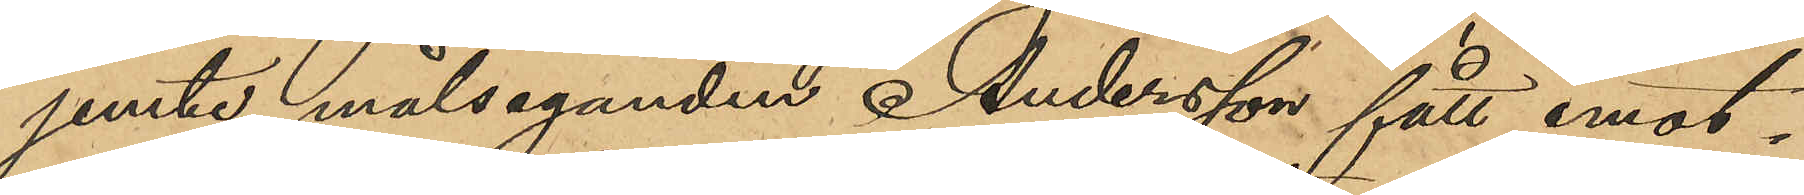jemte målseganden Andersson fått emot¬
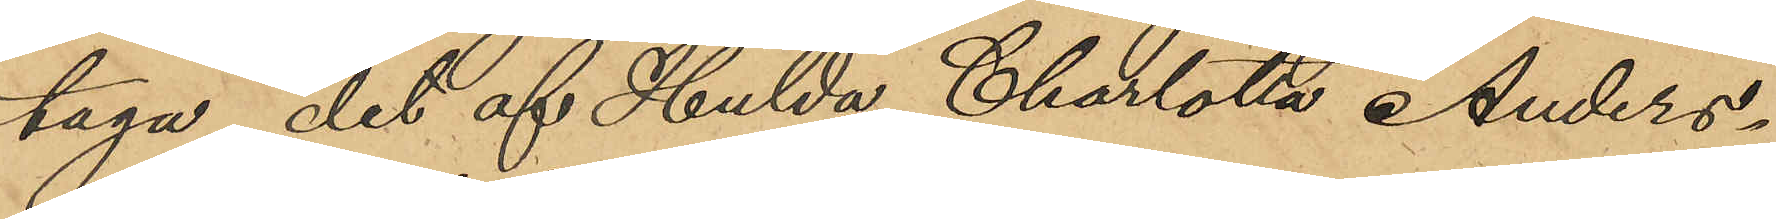taga det af Hulda Charlotta Anders¬
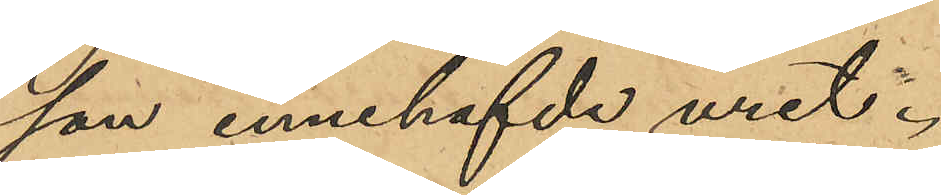son innehafvde uret.
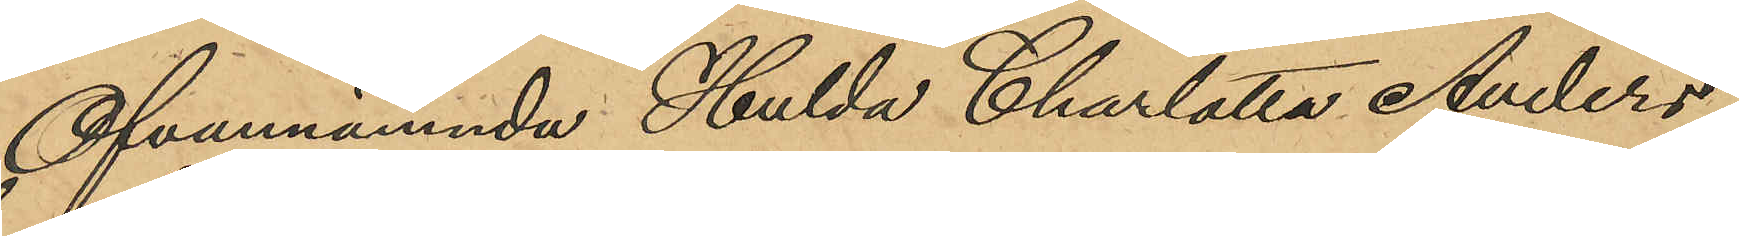Ofvannämnde Hulda Charlotta Anders¬
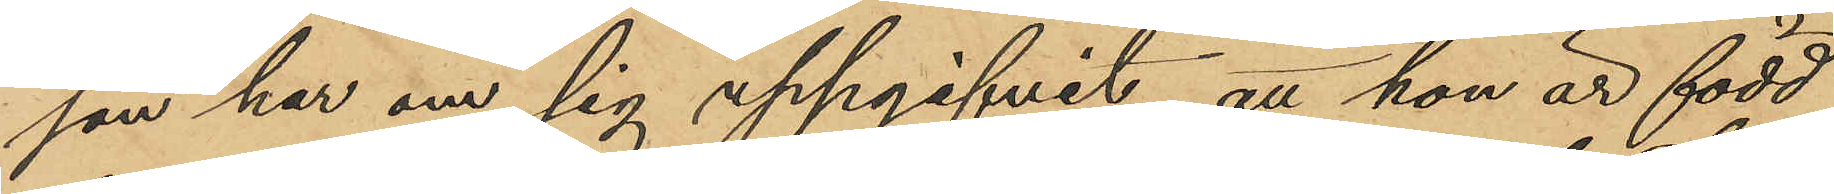son har om sig uppgifvit, att hon är född
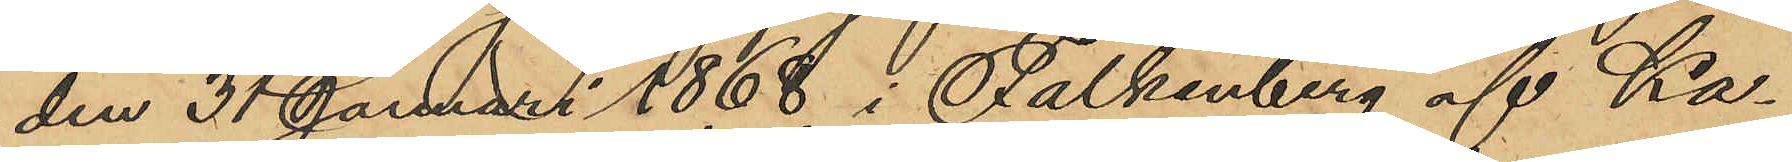den 31 Januari 1868 i Falkenberg af Ka¬
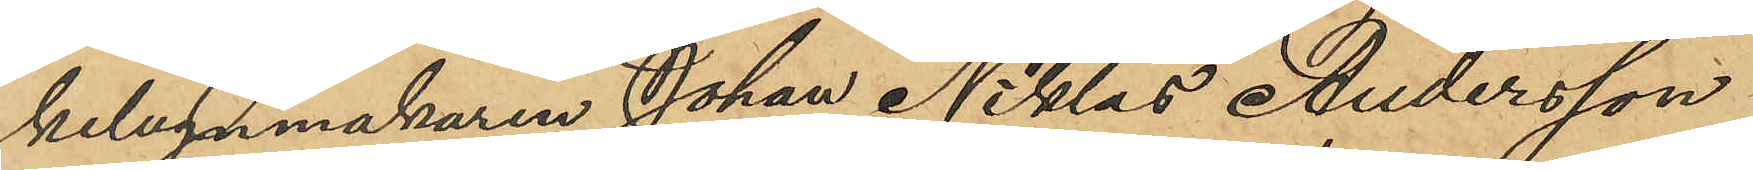kelugnmakaren Johan Niklas Andersson
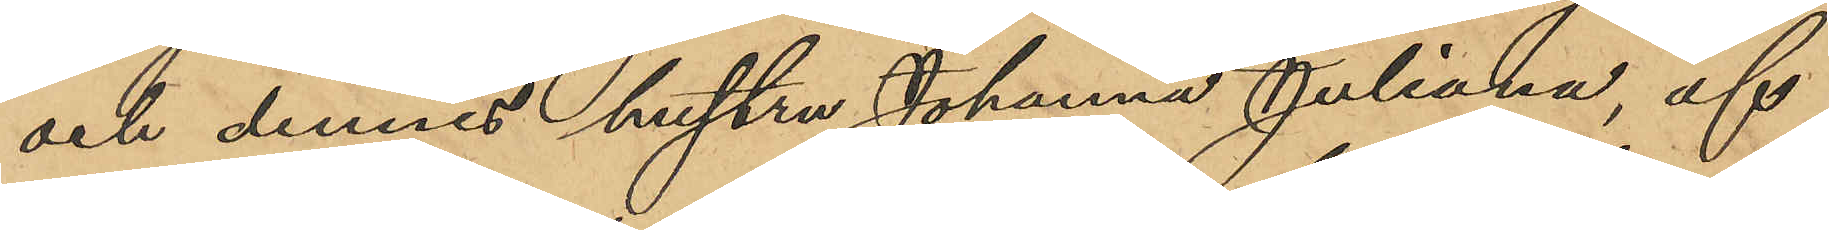och dennes hustru Johanna Juliana, af
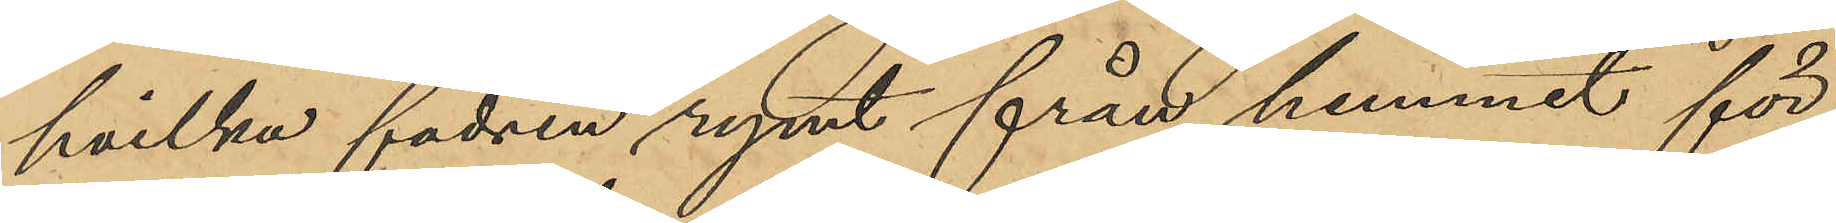hvilka fadren rymt från hemmet för
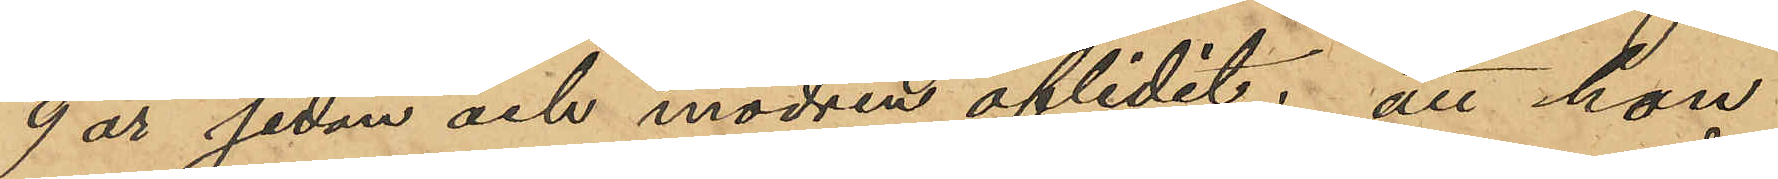9 år sedan och modren aflidit; att hon
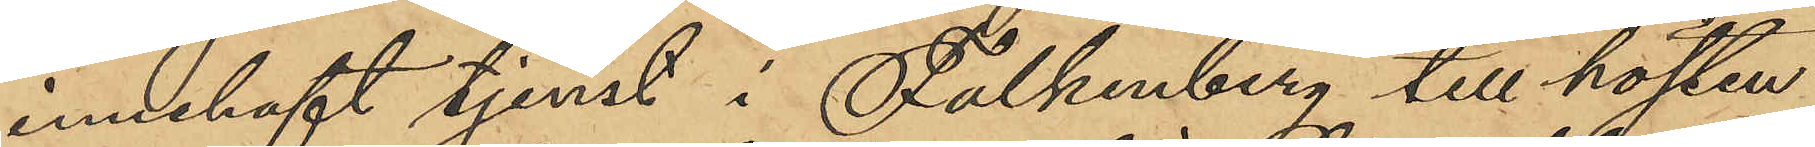innehaft tjenst i Falkenberg till hösten
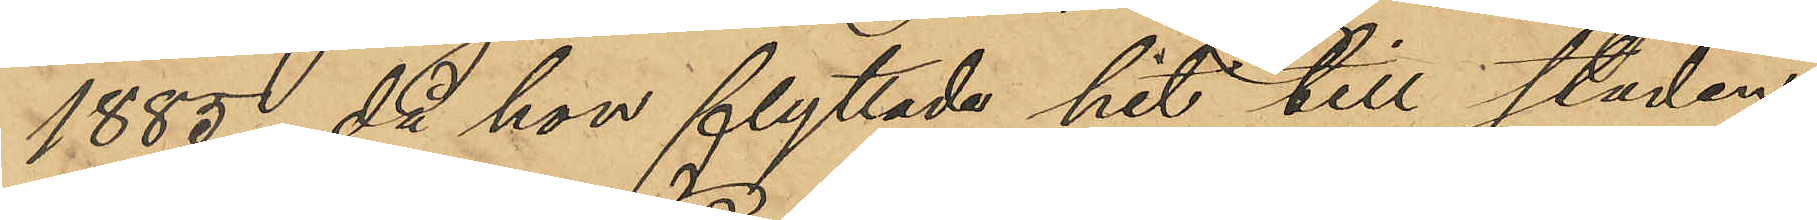1885, då hon flyttade hit till staden;
